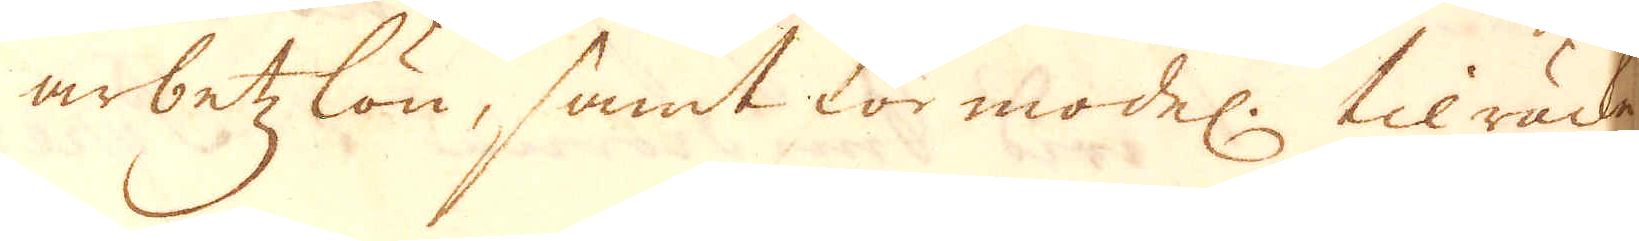arbetzlön, samt förmodel. tilräcke-
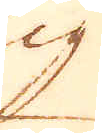lig
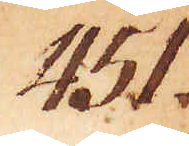451.
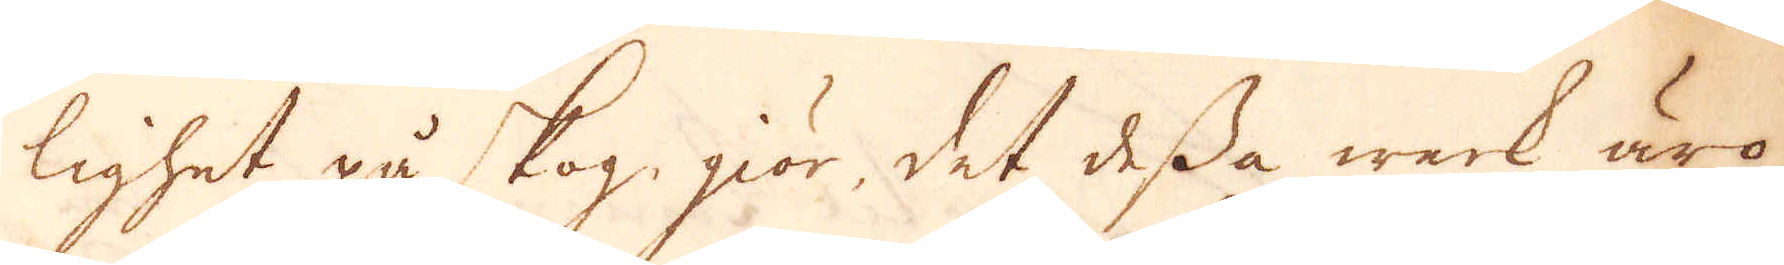lighet på skog giör, det dessa werk äro
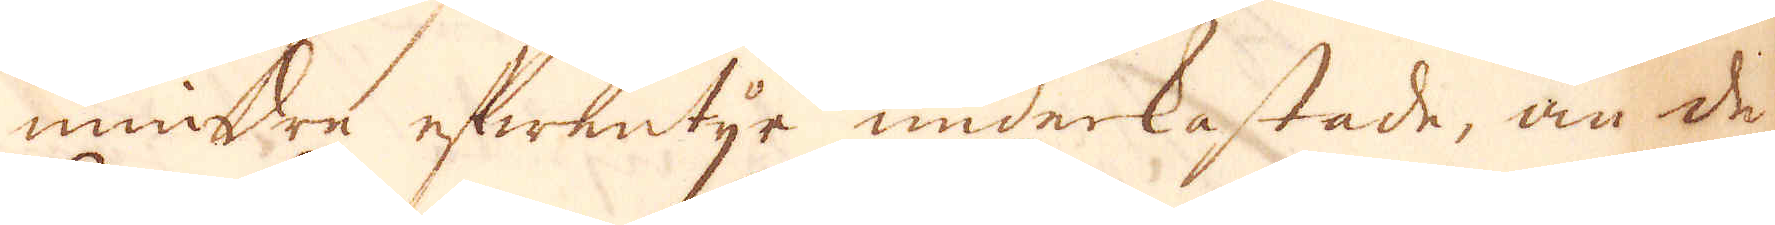mindre efwentyr underkastade, än de
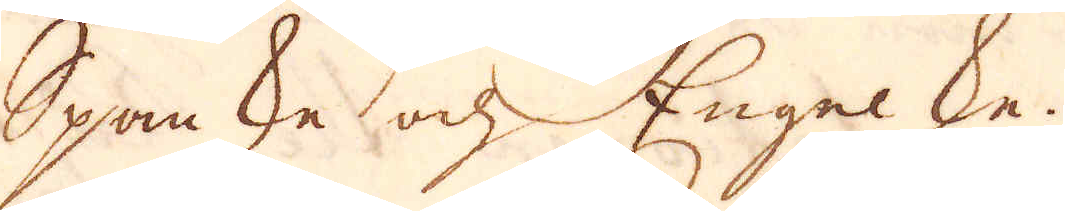Spanske och Engelske.
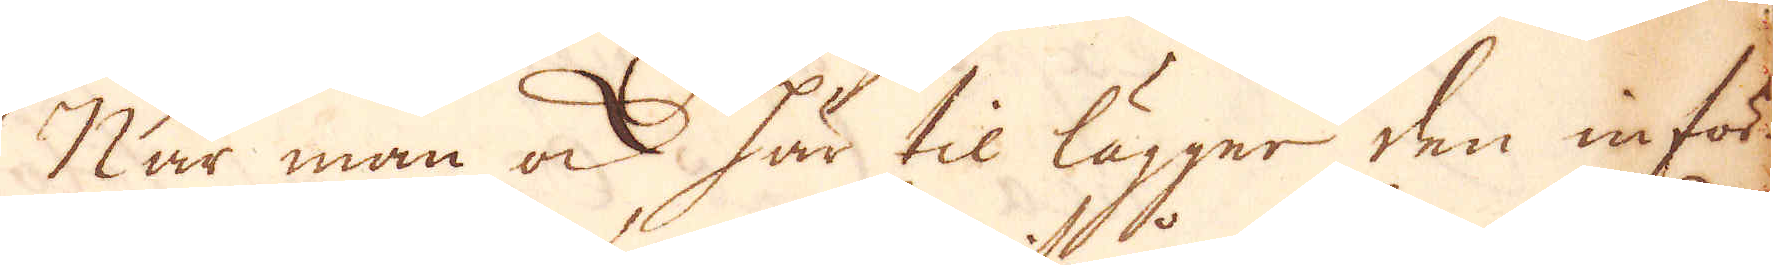När man ock här til lägger den inför-
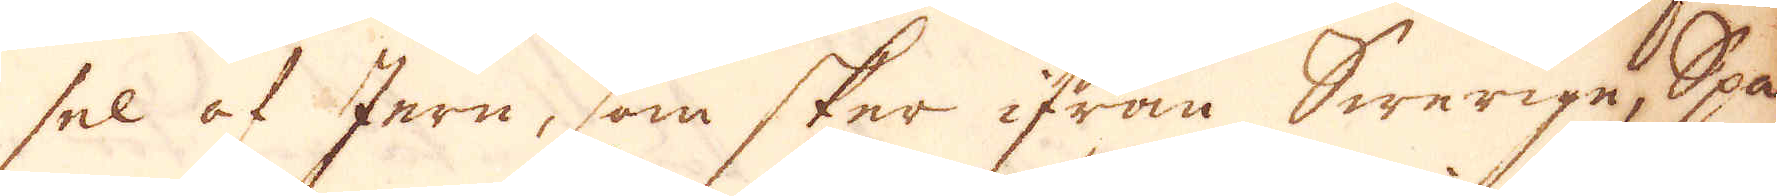sel af Jern, som sker ifrån Swerige, Spa-
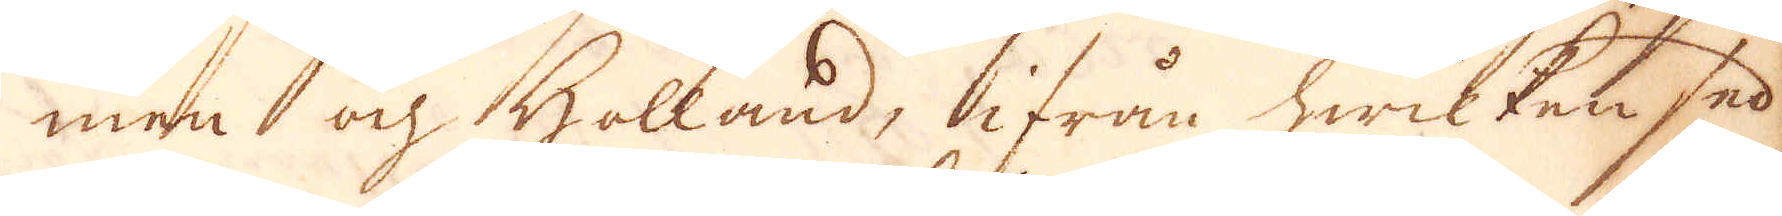nien och Holland, ifrån hwilken sed-
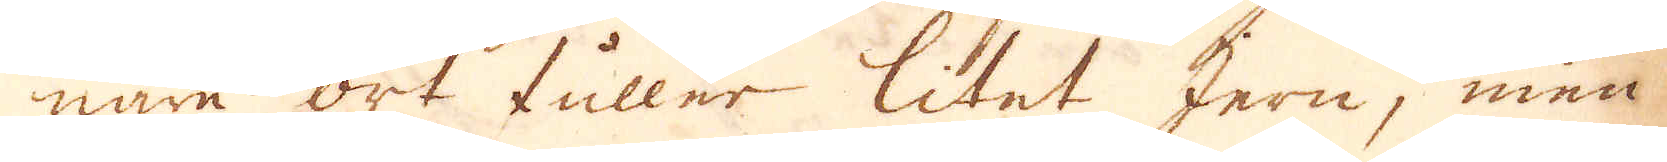nare ort fuller litet Jern, men
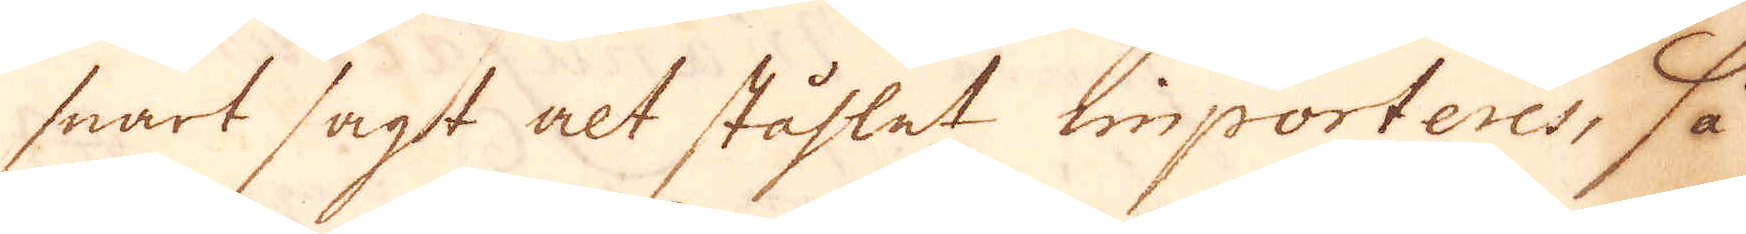snart sagt alt ståhlet importeres, så
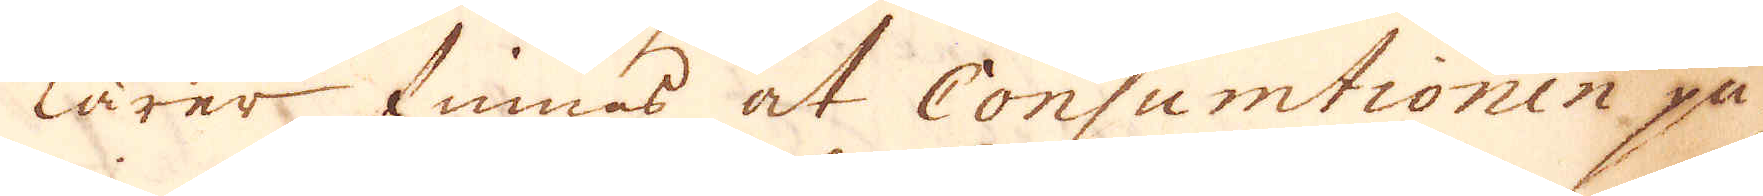lärer finnas at Consumtionen på
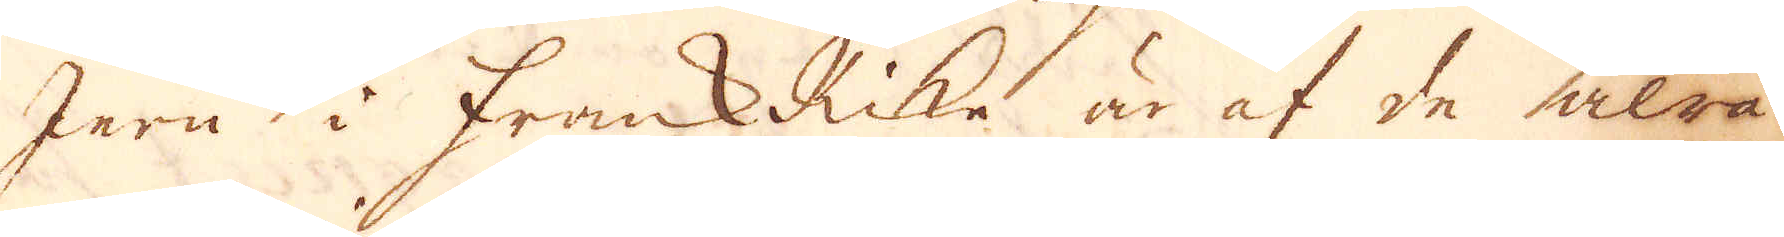Jern i Frank Rike är af de alra
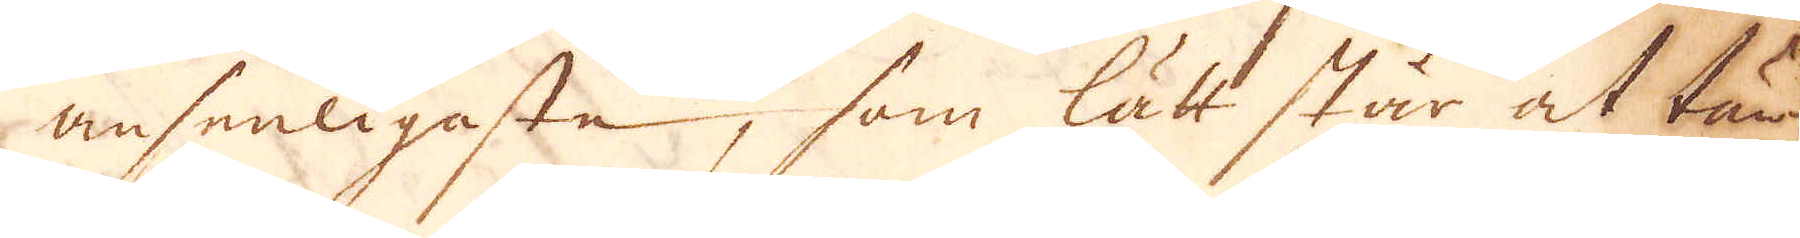ansenligaste, som lätt står at tän-
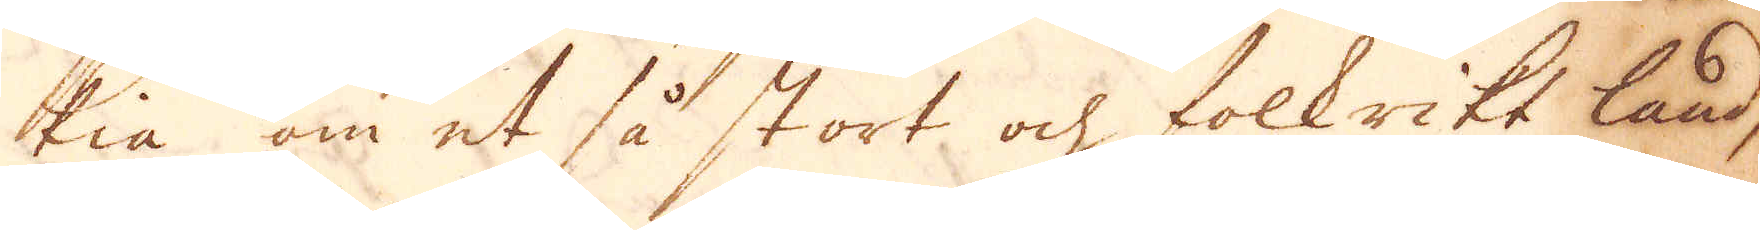kia om et så stort och folkrikt land,
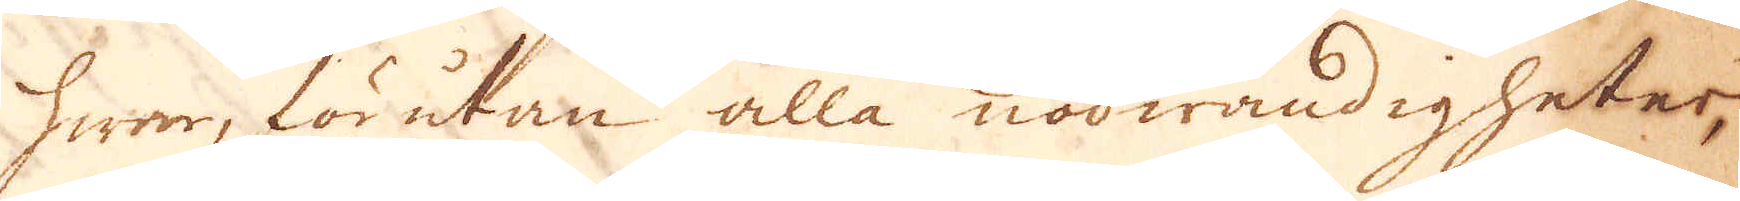hwar, förutan alla nödwändigheter,
